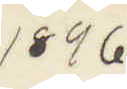1896
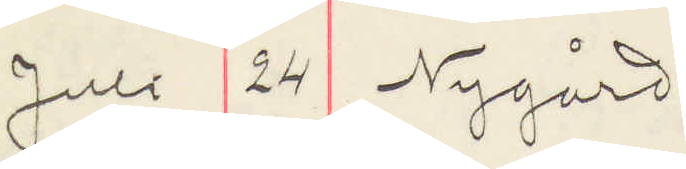Juli 24 Nygård
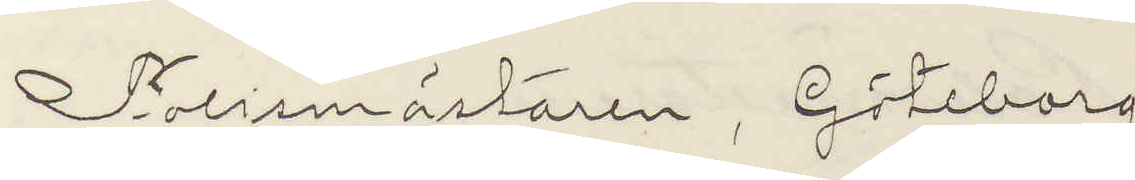Polismästaren, Göteborg.
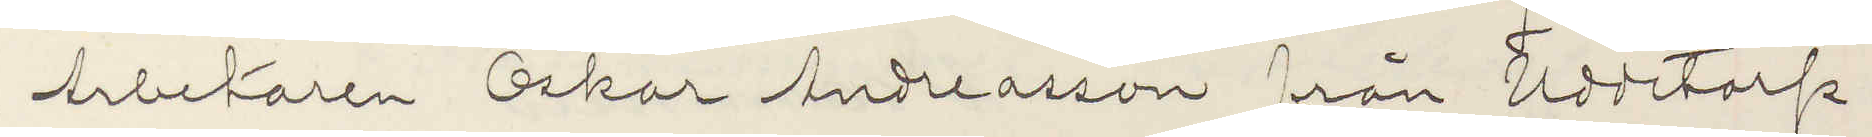Arbetaren Oskar Andreasson från Uddetorp,
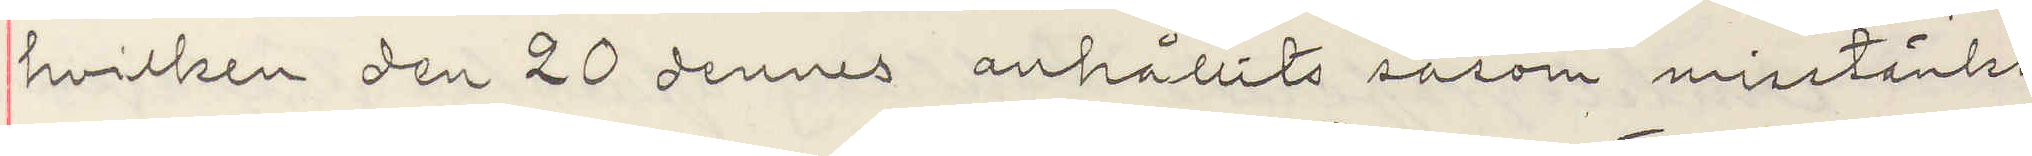hvilken den 20 dennes anhållits såsom misstänkt
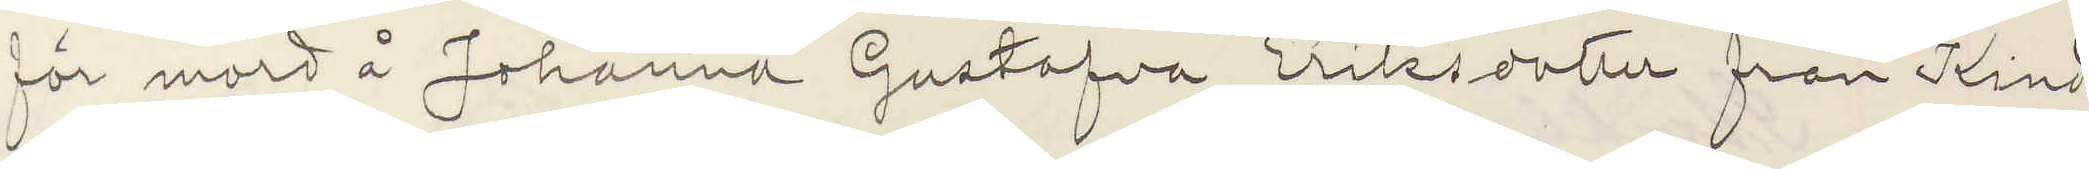för mord å Johanna Gustafva Eriksdotter från Kind¬
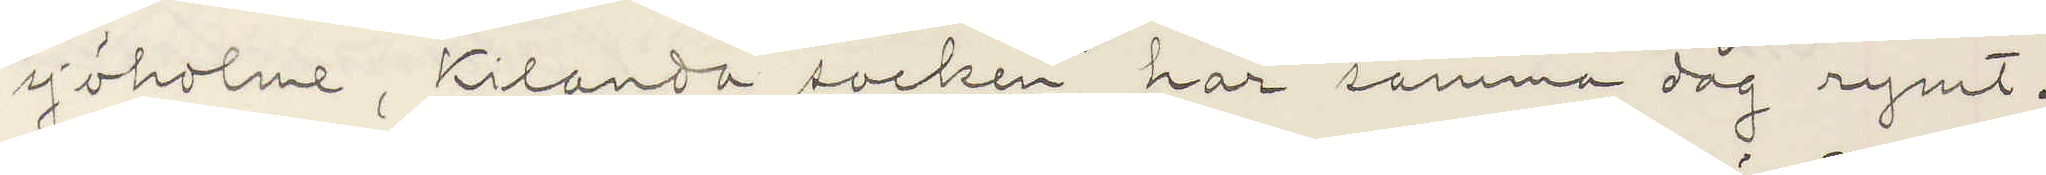sjöholme, Kilanda socken har samma dag rymt.
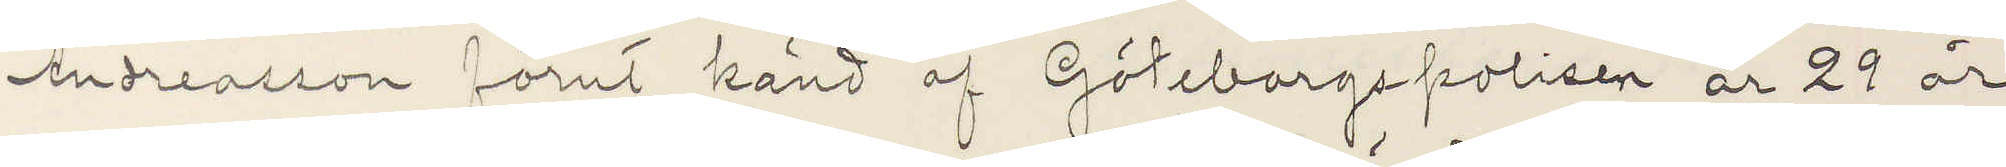Andreasson förut känd af Göteborgspolisen är 29 år
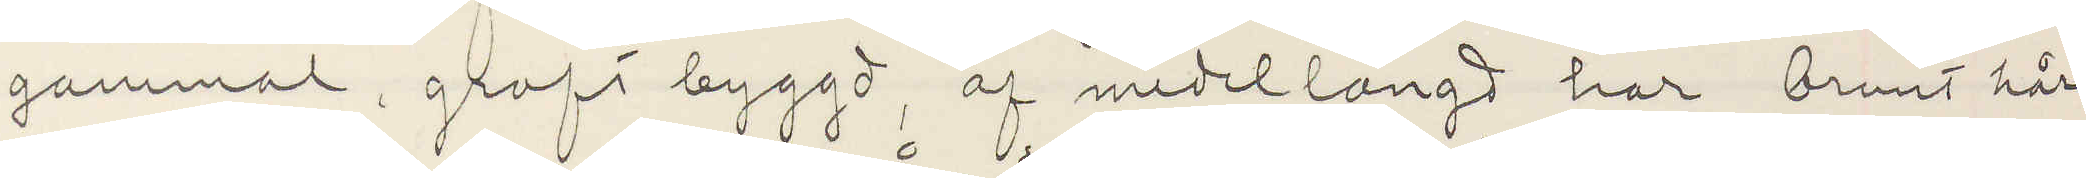gammal, groft byggd, af medellängd har brunt hår,
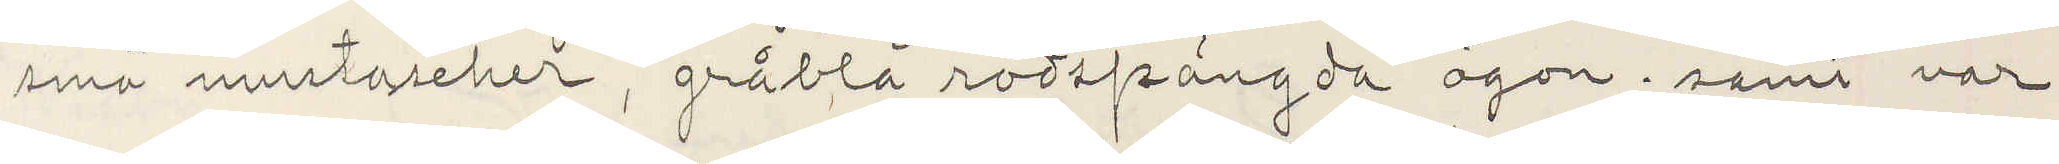små mustascher, gråblå rödsprängda ögon; samt var
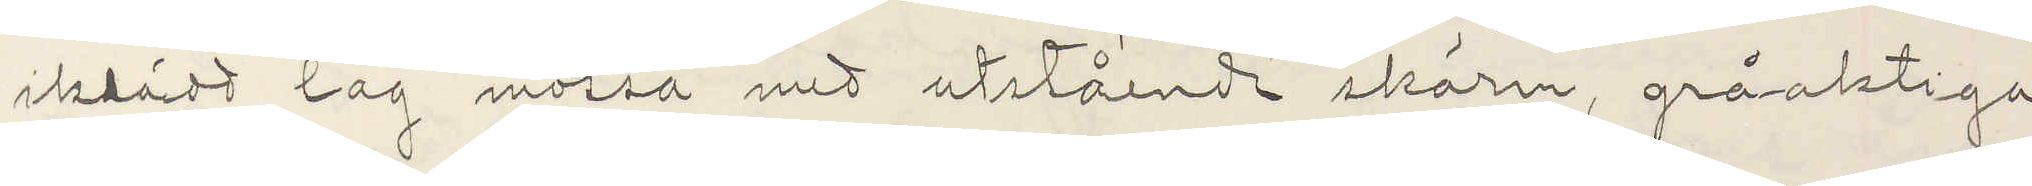iklädt låg mössa med utstående skärm, gråaktiga
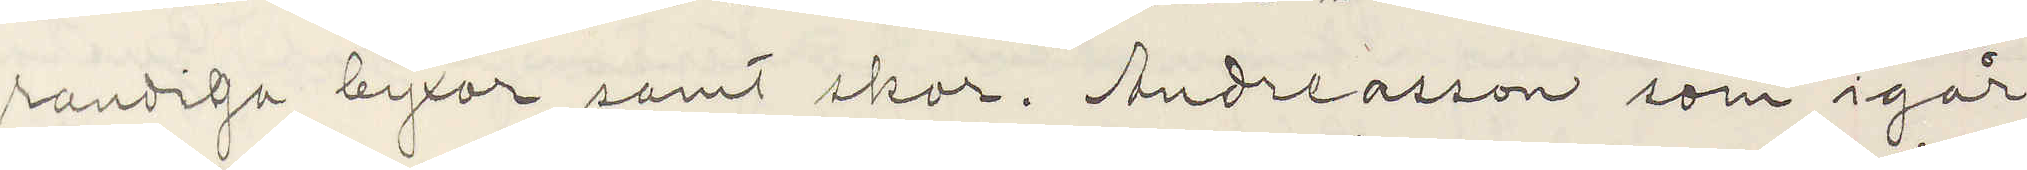randiga byxor samt skor. Andreasson som igår
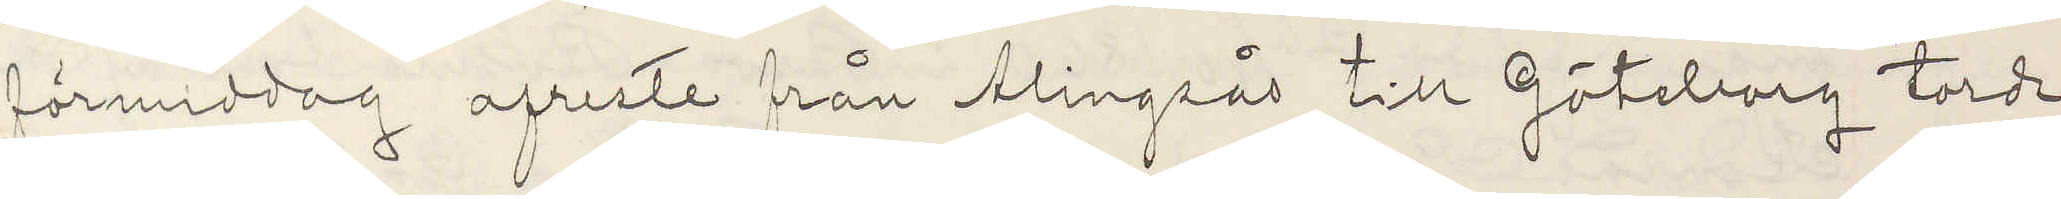förmiddag afreste från Alingsås till Göteborg torde
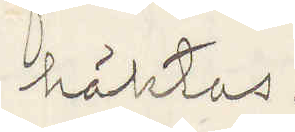häktas.
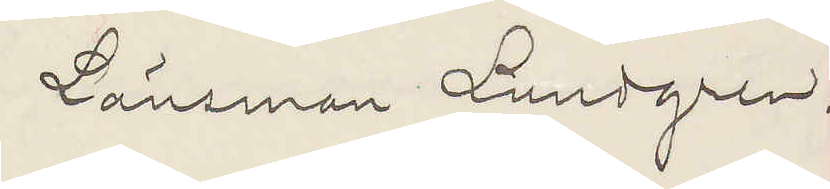Länsman Lundgren.
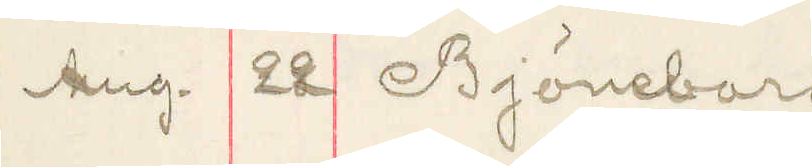Aug. 22 Björneborg
